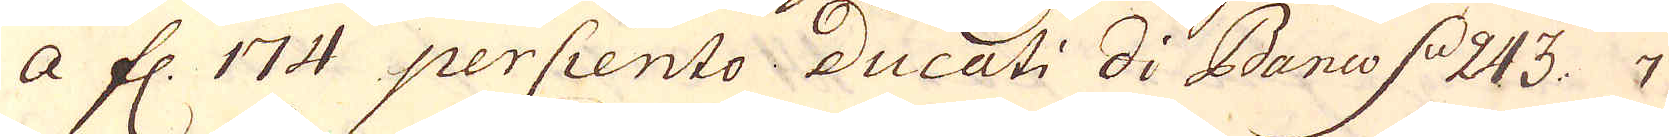a fl. 174 perCiento Ducati Di Bano d 243: 7
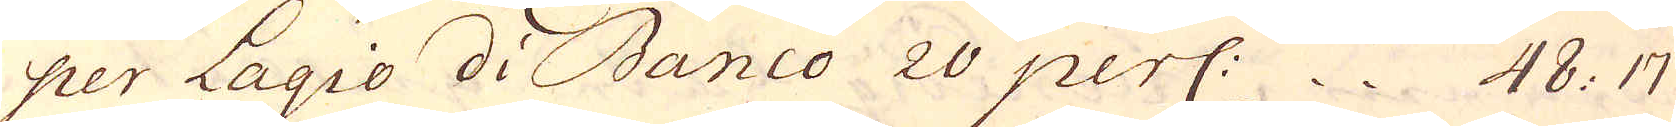per Lagio di Banco 20 perC: 48: 17
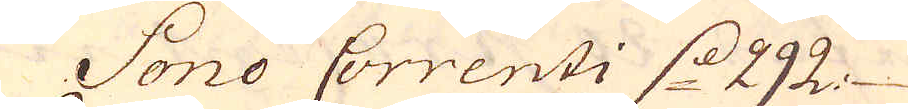Sono Correnti d. 292.
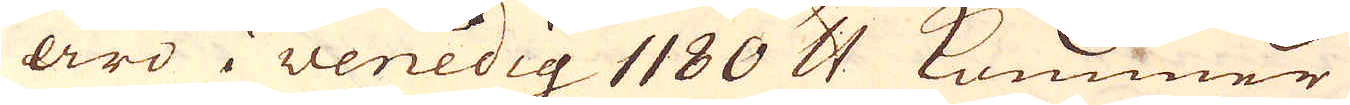äro i Venedig 1180 skålpund kommer
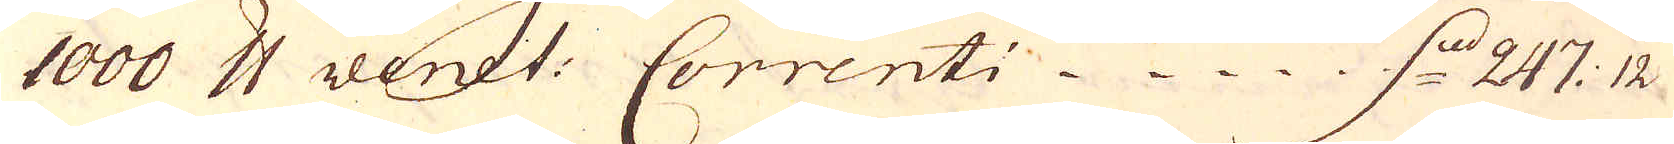1000 skålpund venit: Correnti d. 247 12
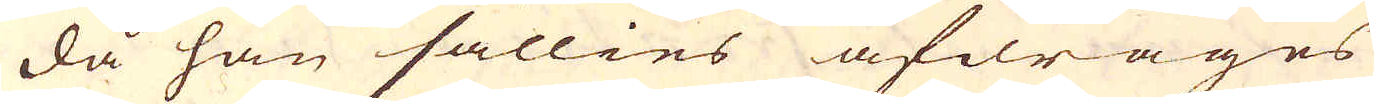då han sällies afdrages
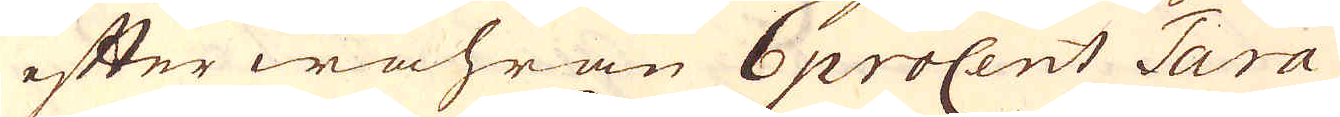efter wahran 6 procent Tara
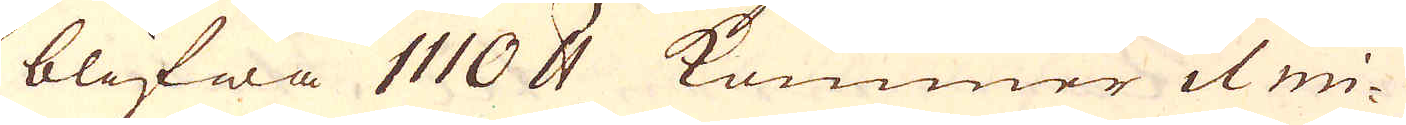blifwa 1110 skålpund kommer il mi-
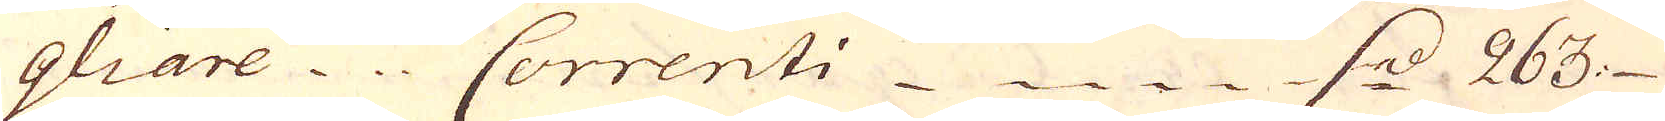gliare Correnti d. 263
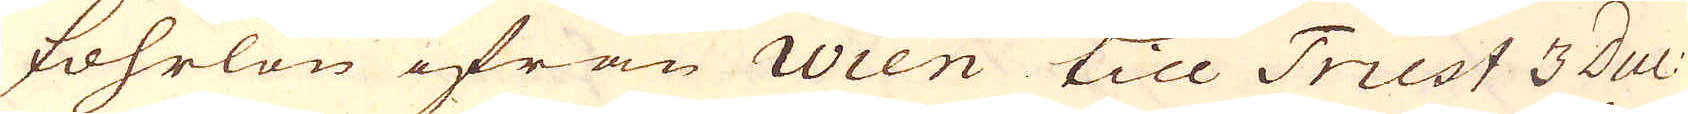fohrlön ifrån wien till Trist 3 duc:
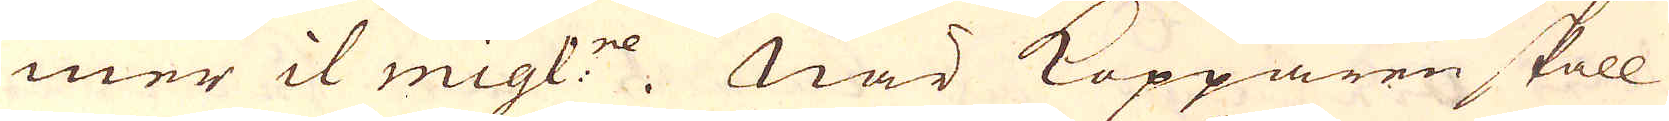mer il migl:re. När Kopparen skall
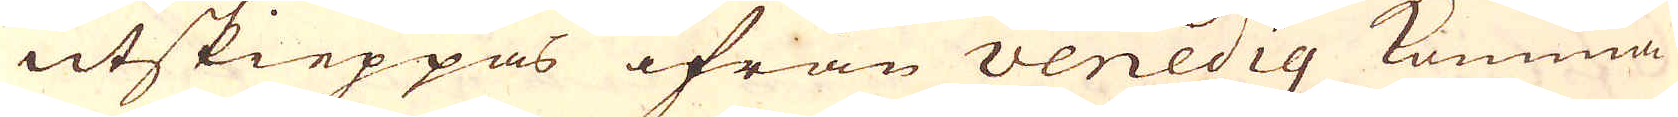utskieppas ifrån Venedig komma
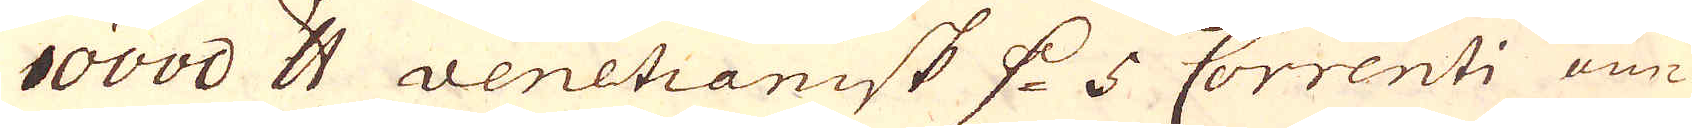10000 skålpund venetianisk d. 5 Correnti om-
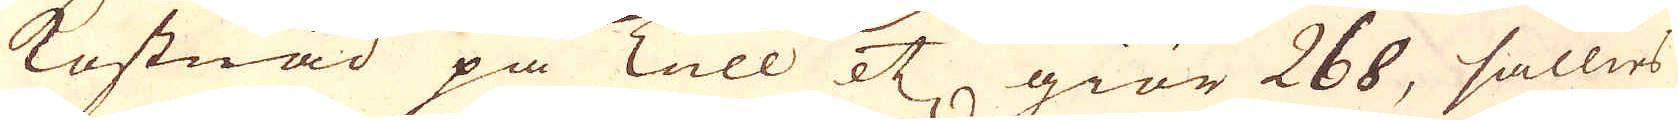kostnad på Tull etc, giör 268, sällies
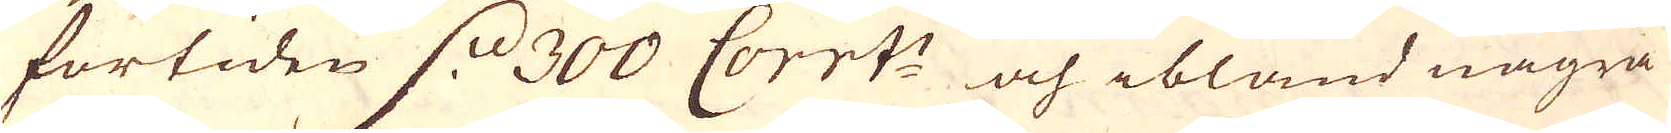förtiden d. 300 Corrt:i och ibland några
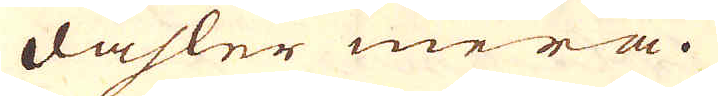dahler mera.
